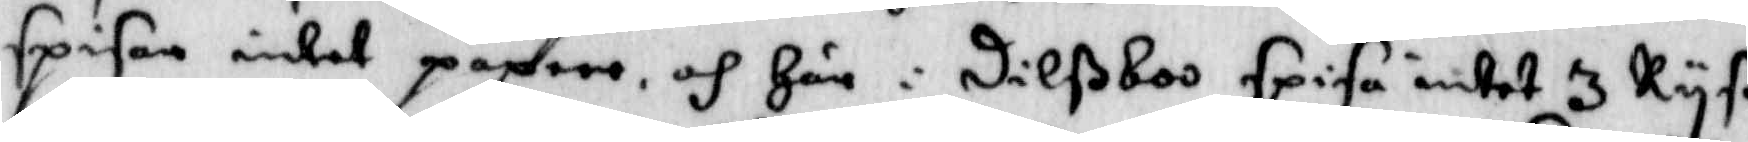spisar intet paprer och Här i Dilßboo spisa intet 3 Ryß¬
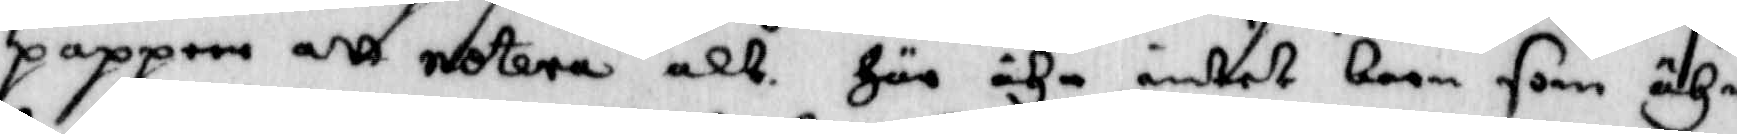papprer att notera alt. Här ähr intet barn som ähr
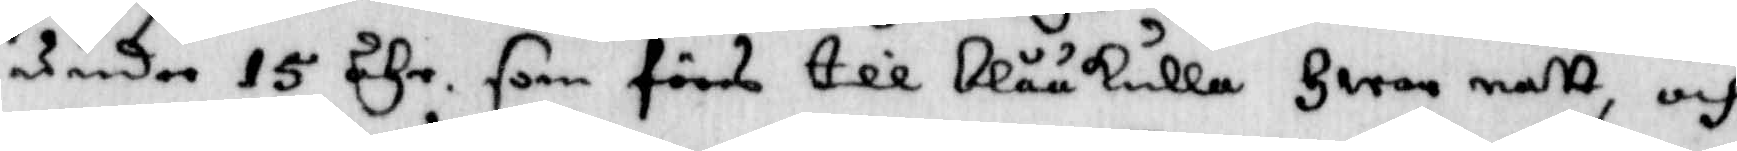under 15 åhr som förs till Blåkulla Hwar natt, och
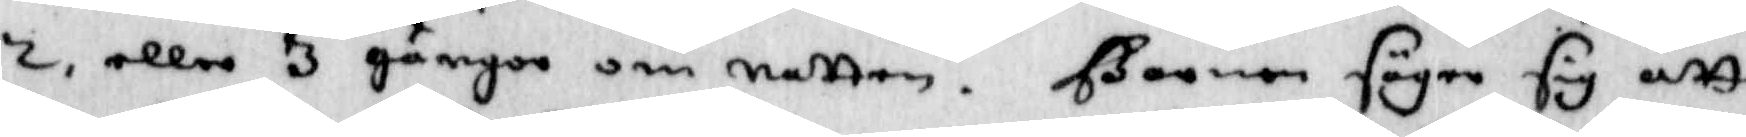2, eller 3 gånger om natten. Barnen säger sig att
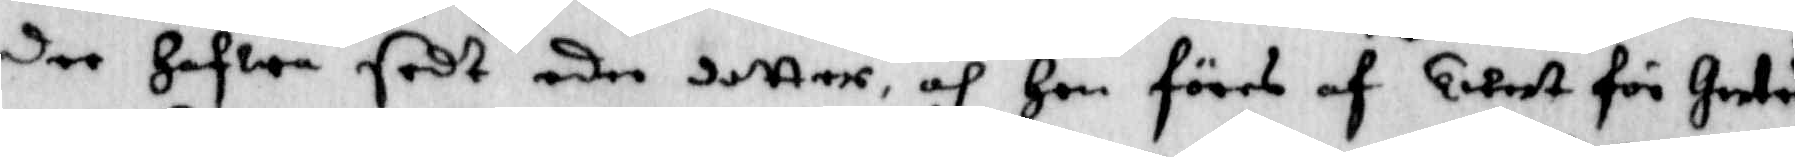der Hafwa sedt eder dotter, och Hon föres af twest för Gertrud
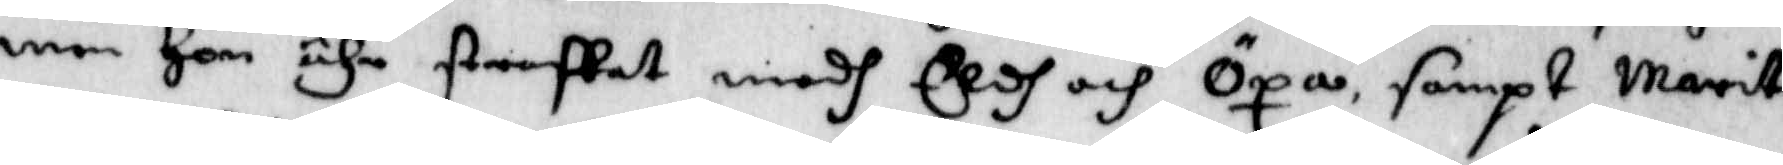men Hon ähr straffat medh Eldh och Öxa, sampt Marit
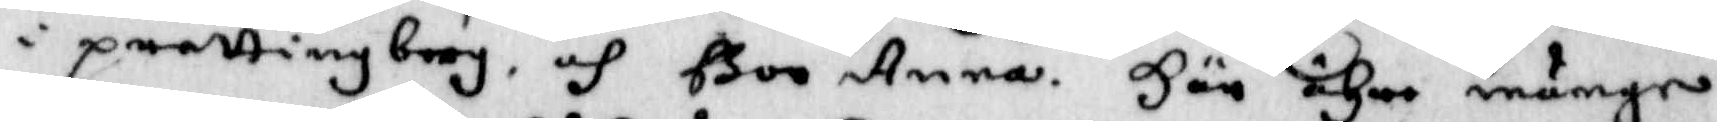i prettingborg, och Boo Ann. Här ähre månge
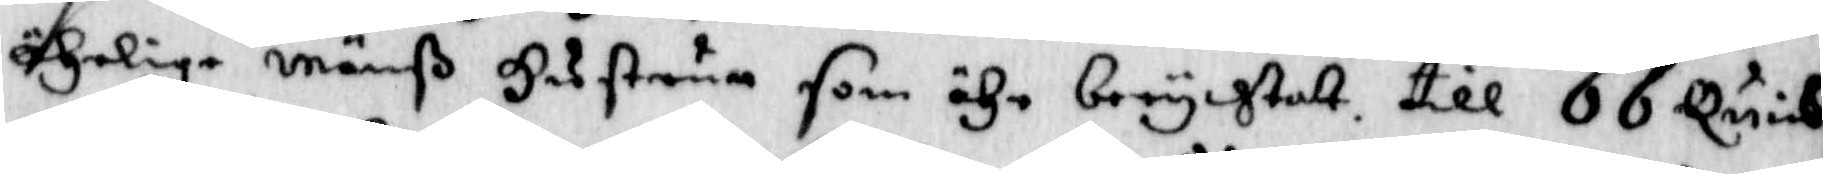ährlige Mänß Hustrus som ähr berychtat. till 66 Quins¬
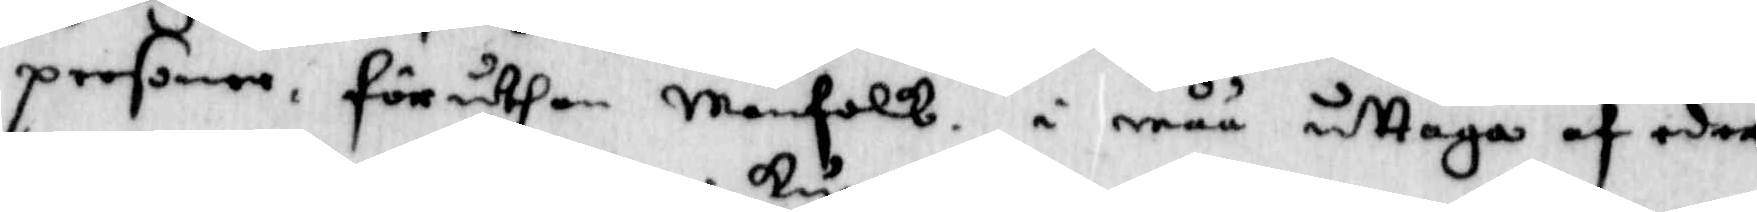personer, för uthan Manfolk. i måå uttaga af eder
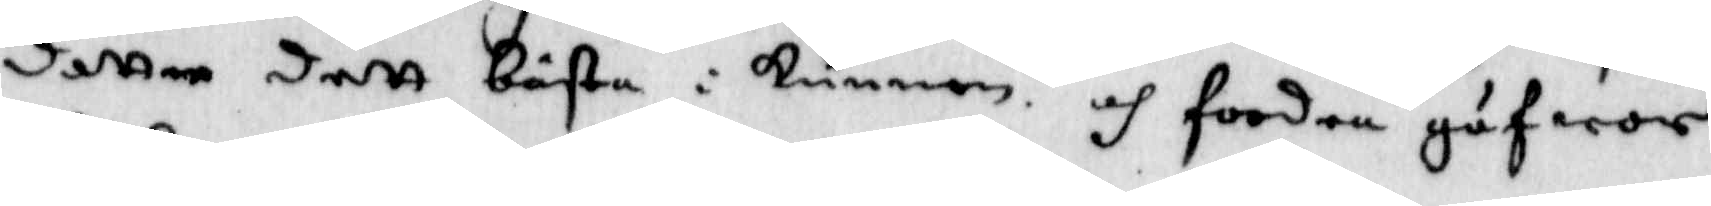dotter dett bästa i kunna och foodra gufwor
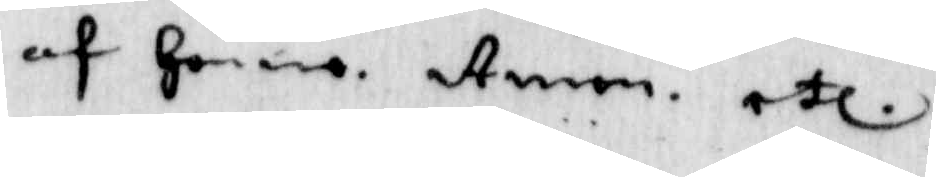af Henne. Amen etc.
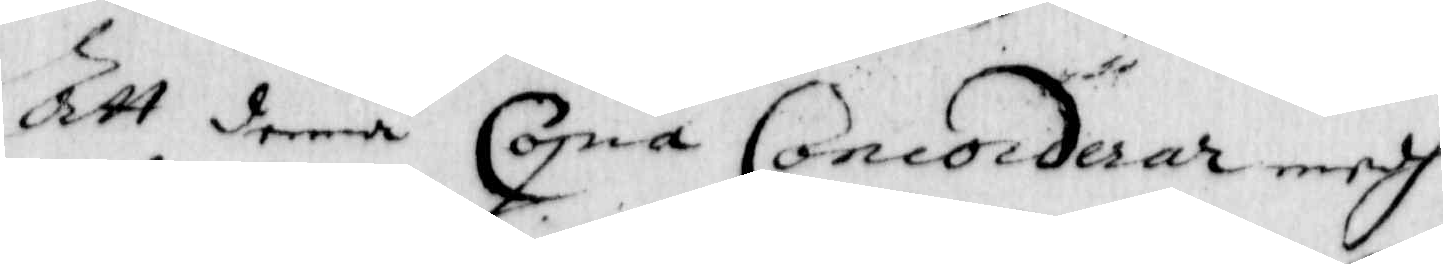Att denna Copia Concorderar medh
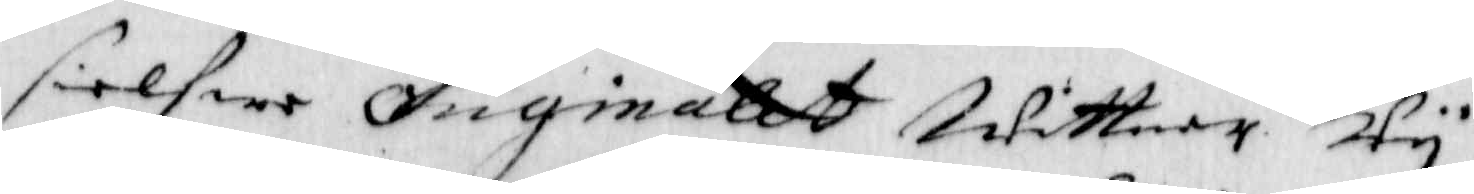sielfwe originalet wittnar wy
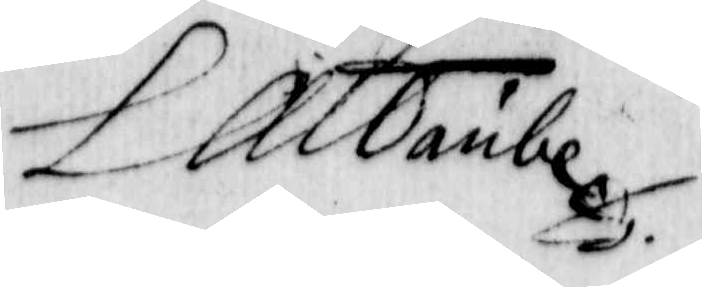L A Taube
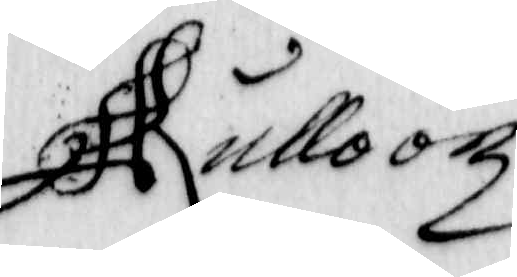Rullooz
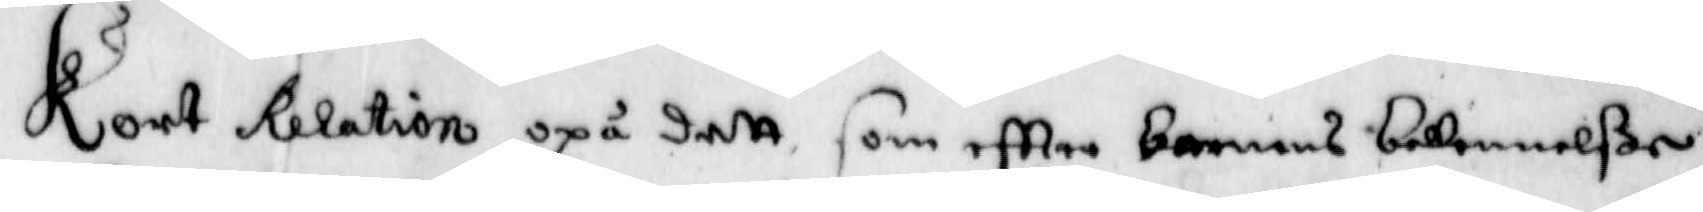Kort Relation opå dett som eftter barnens bekennelßer
